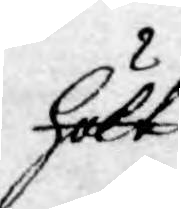hölt
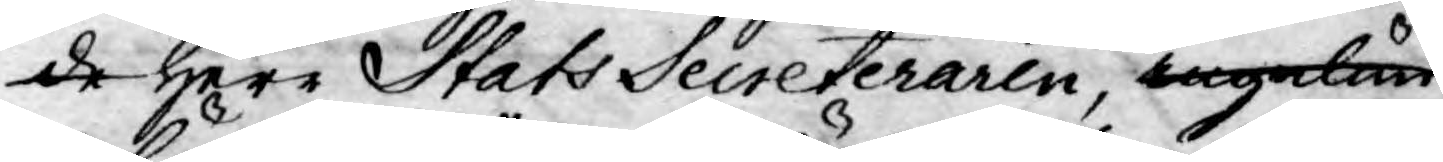de Herr Stats Secreteraren, ingalun
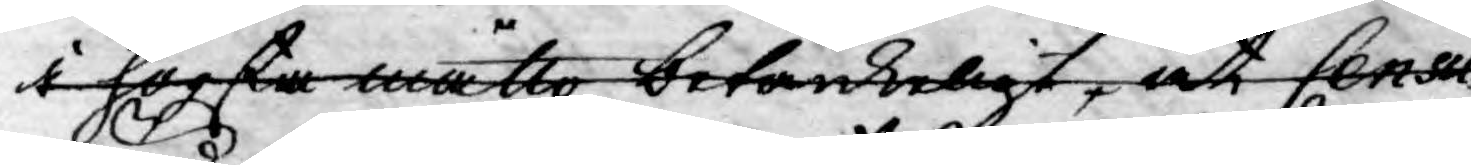i högsta måtto betänkeligt, at Censu
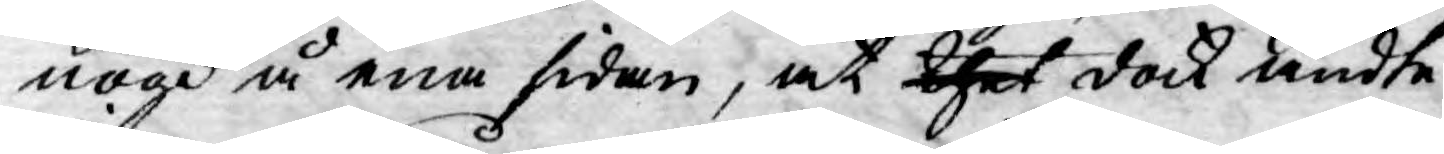nögd å ena sidan, at thet dock ändte¬
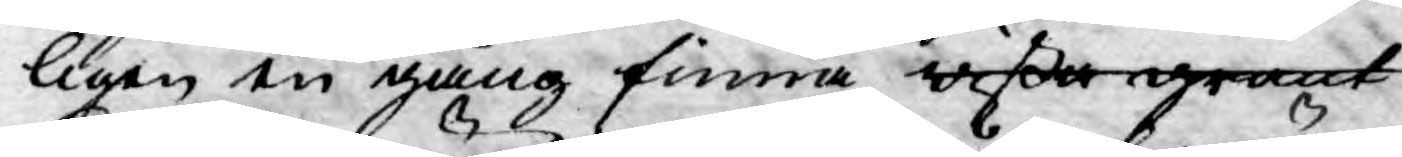ligen en gång finna wiss grant
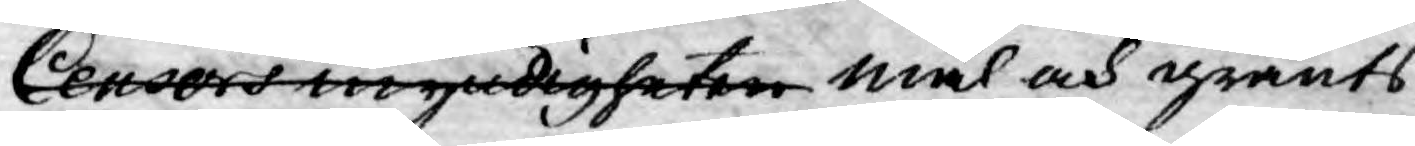Censors myndigheten mål och gränts
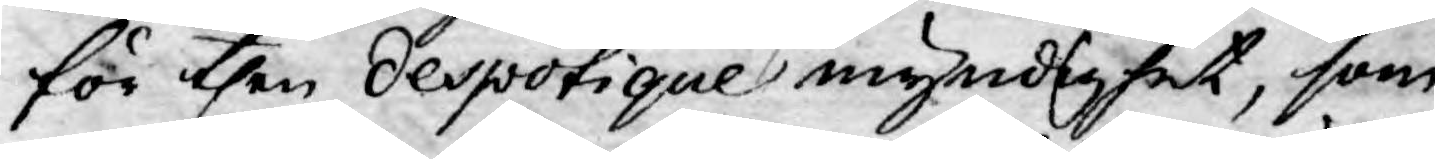för then despotique myndighet, som
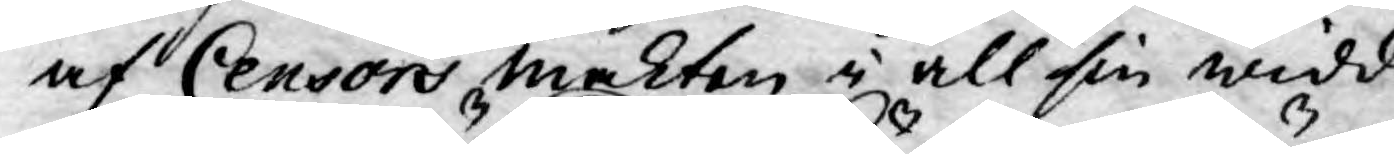af Censors makten i all sin widd
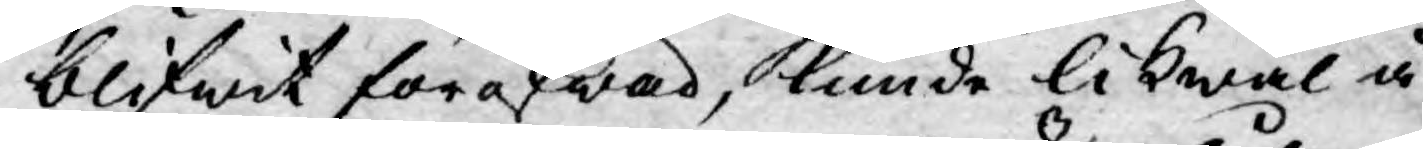blifwit föröfwad, kunde likwäl å
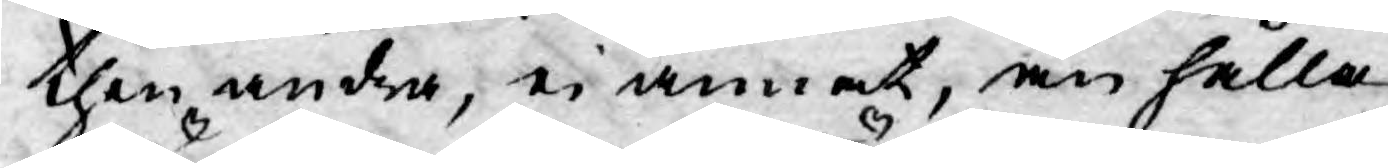then andra, ei annat, än hålla
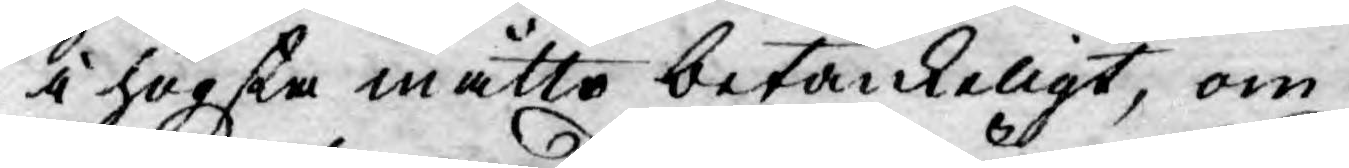i högsta måtto betänkeligt, om
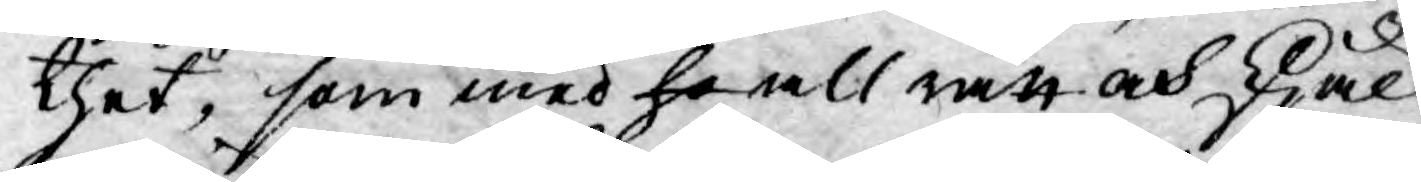thet, som med ho all rätt och skjäl
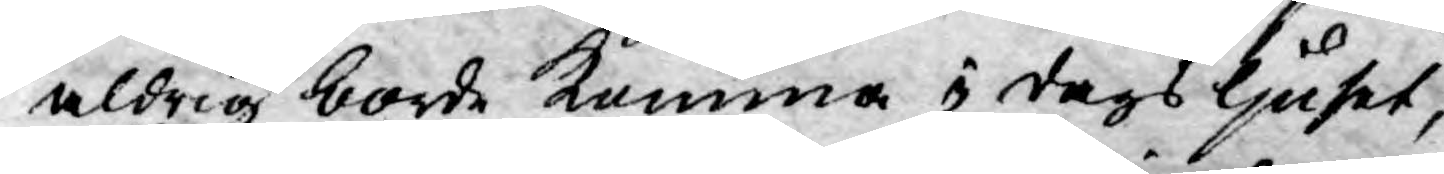aldrig borde komma i dagsljuset,
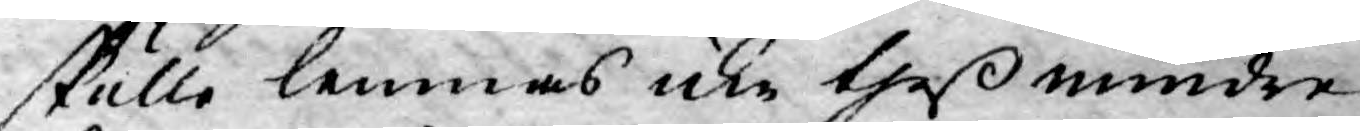skulle lemnas icke theß mindre
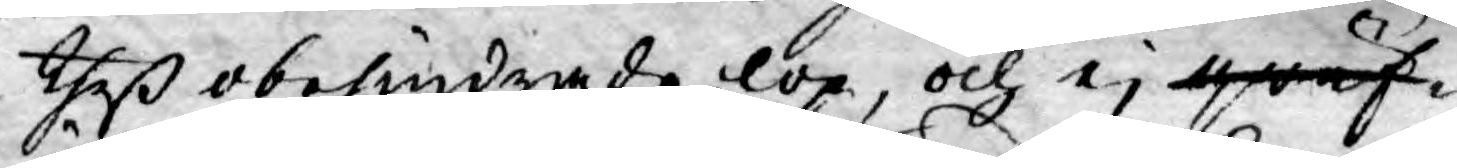theß obehindrade lop, och ej qwäf¬
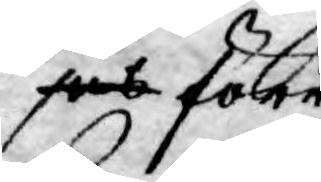jes förr
